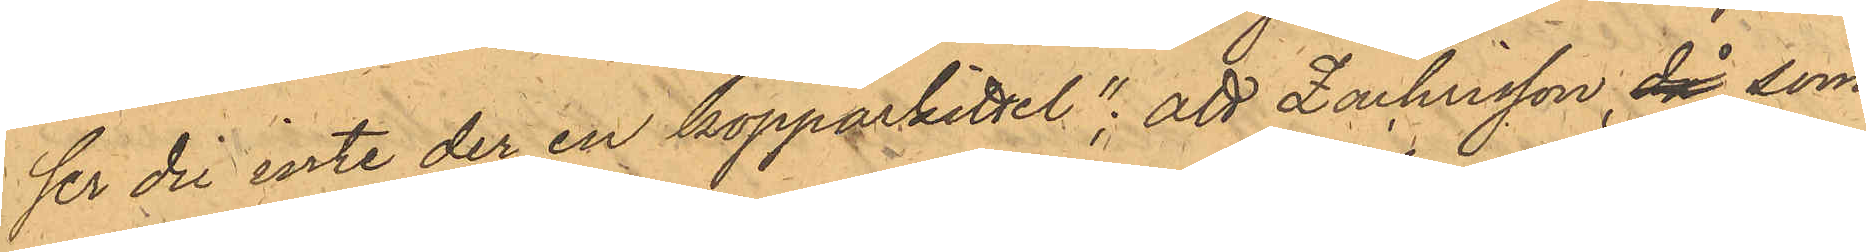ser du inte der en kopparkittel"; att Zachsson, då som
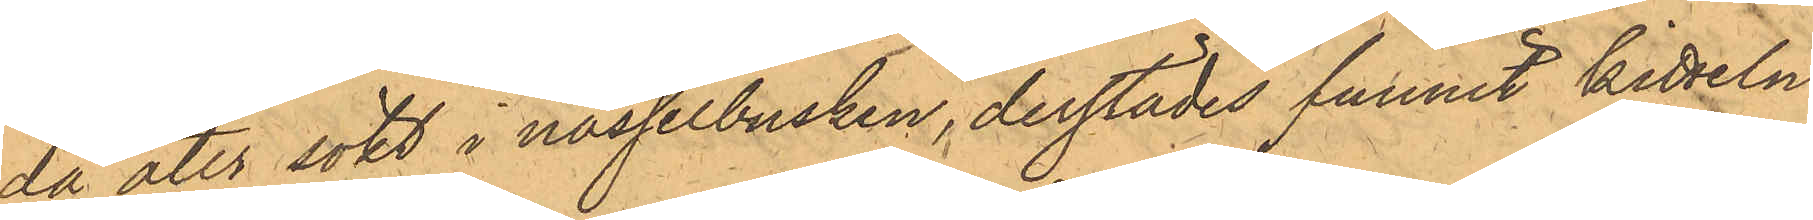då åter sökt i nässelbusken, derstädes funnit kitteln
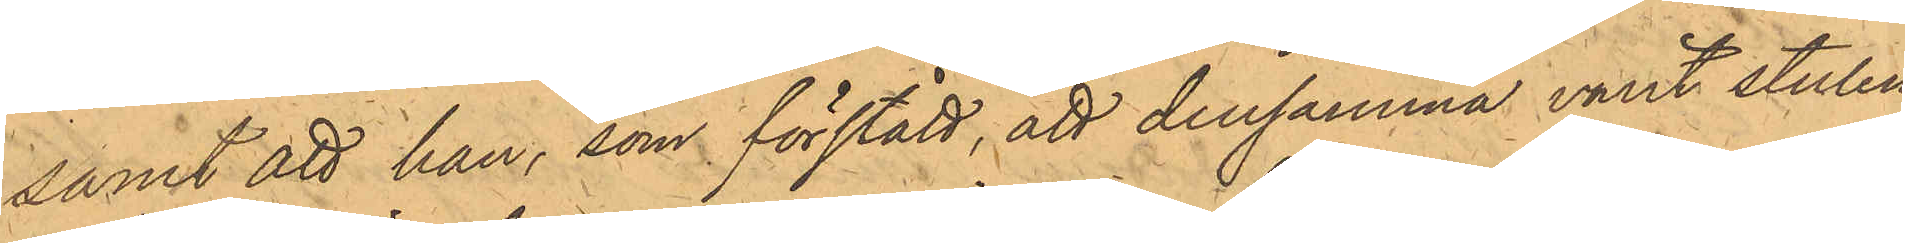samt att han, som förstått, att densamma varit stulen,
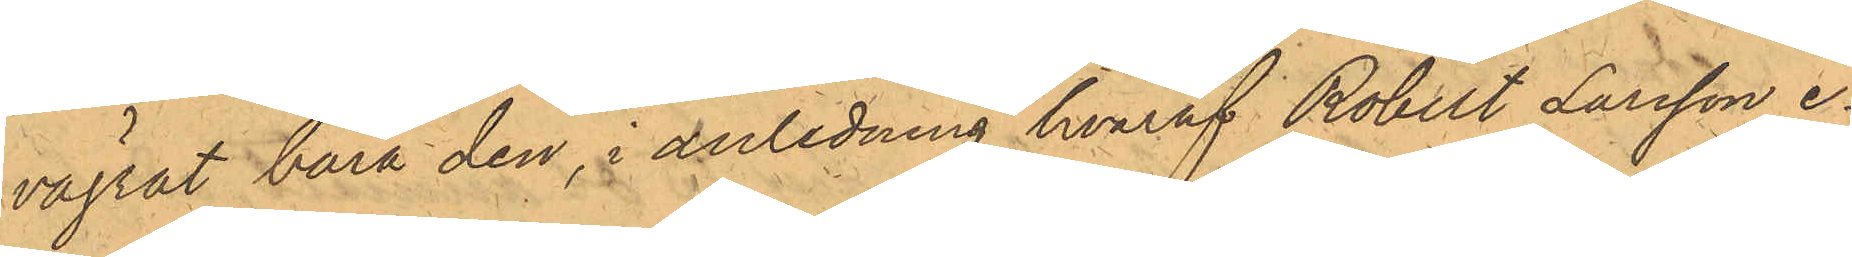vägrat bära den, i anledning hvaraf Robert Larsson e¬
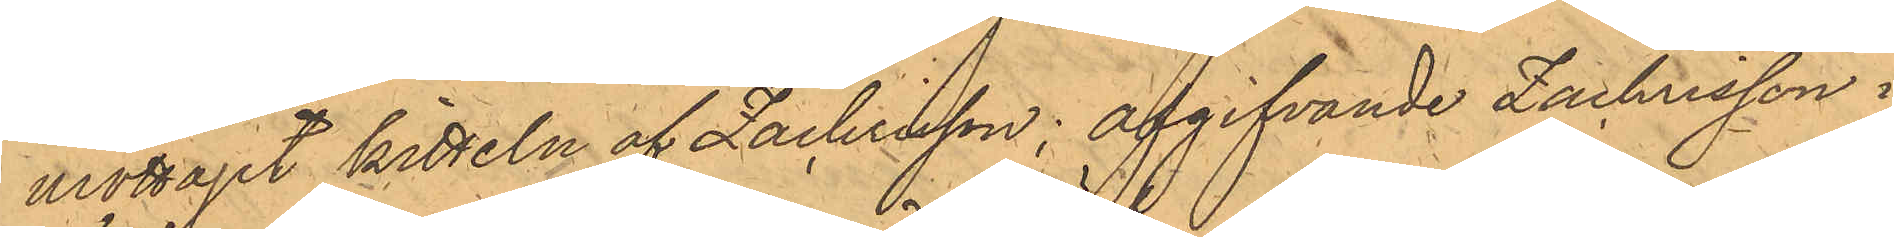mottagit kitteln af Zachrisson; afgifvande Zachrisson i
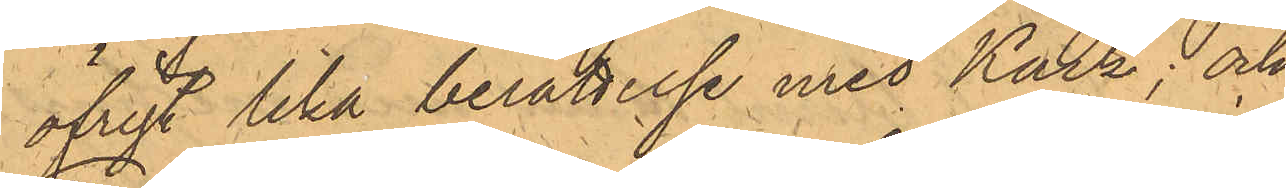öfrigt lika berättelse med Käck; och
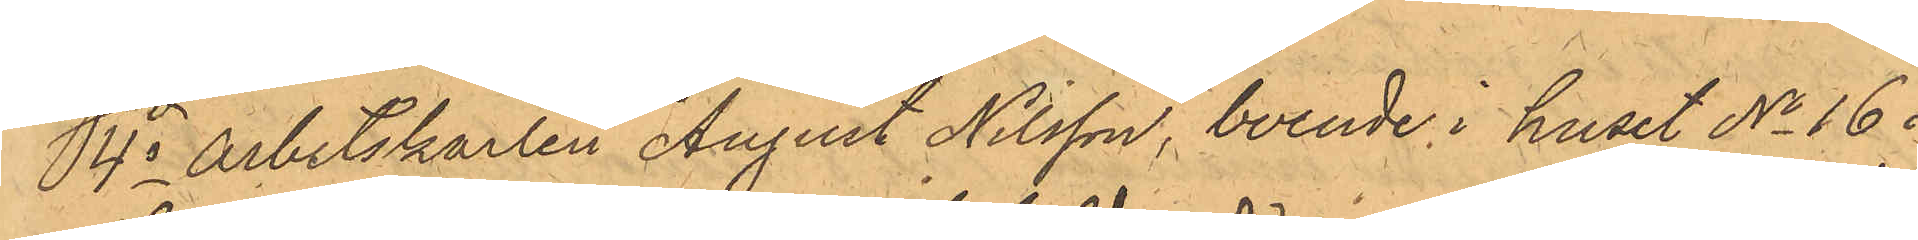4o arbetskarlen August Nilsson, boende i huset No 16 i
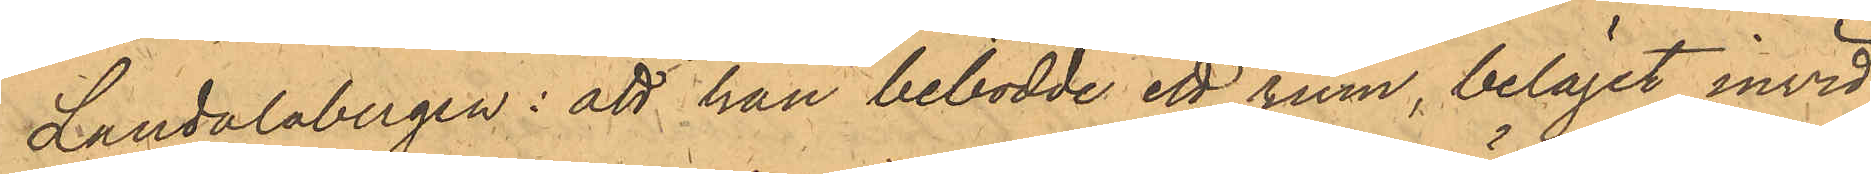Landalabergen: att han bebodde ett rum, beläget invid
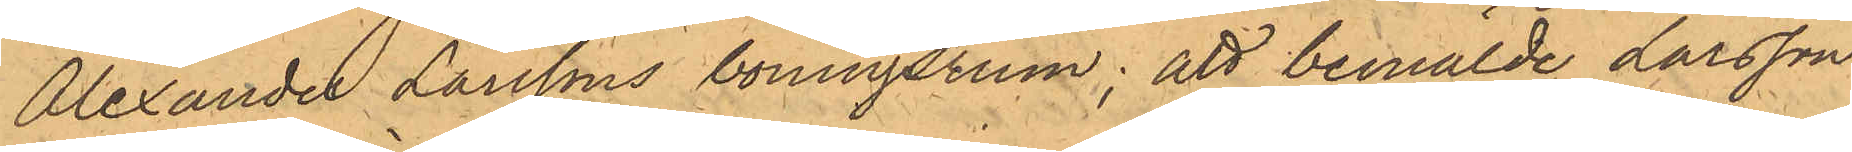Alexander Larssons boningsrum; att bemälde Larsson
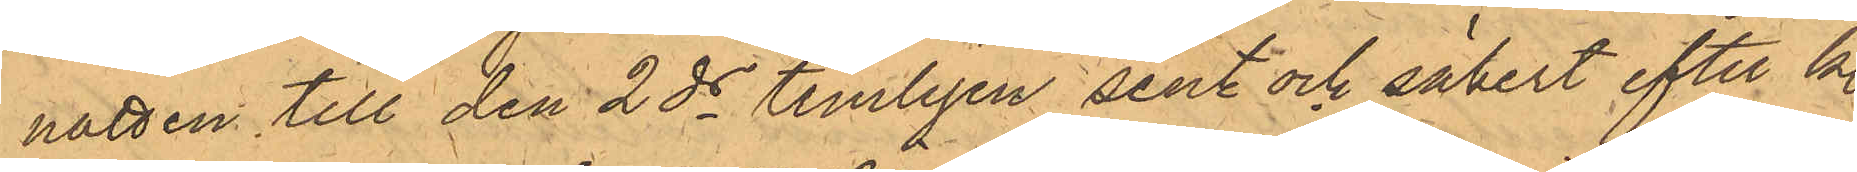natten till den 2ds temligen sent och säkert efter kl.
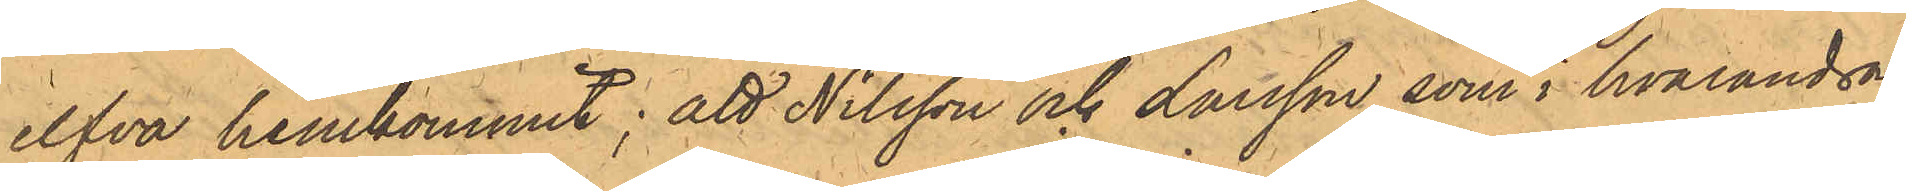elfva hemkommit; att Nilsson och Larsson, som i hvarandras
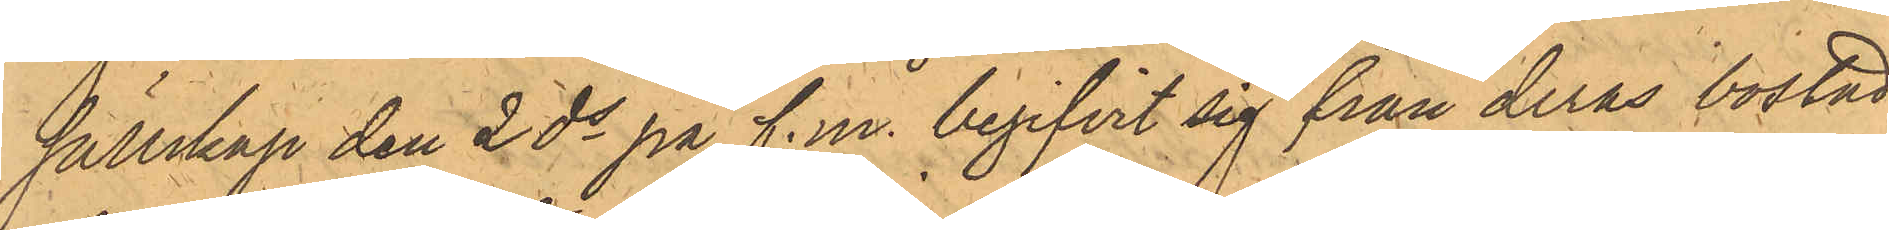sällskap den 2 ds på f.m. begifvit sig från deras bostad,
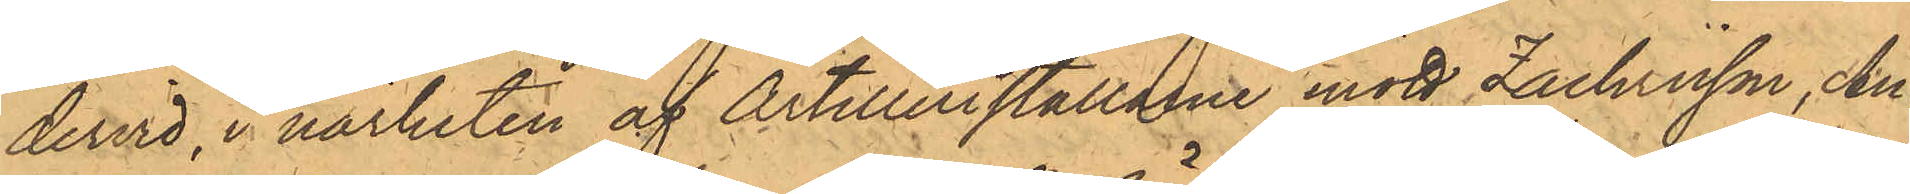dervid, i närheten af Artilleristallarne mött Zachrisson, An¬
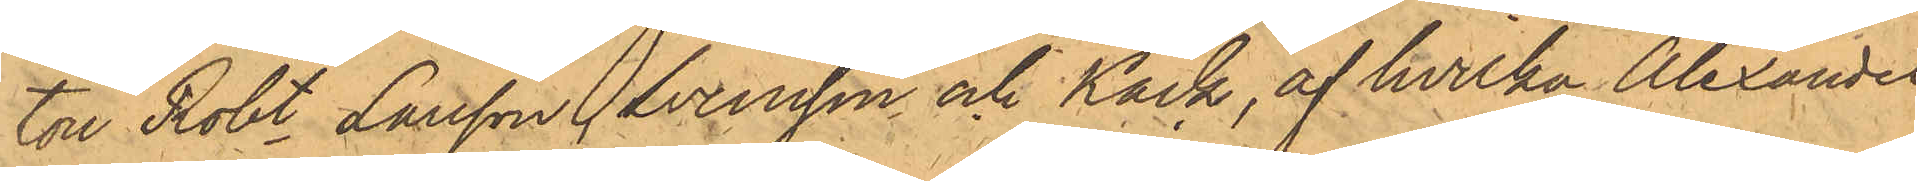ton Robt Larsson, Svensson och Käck, af hvilka Alexander
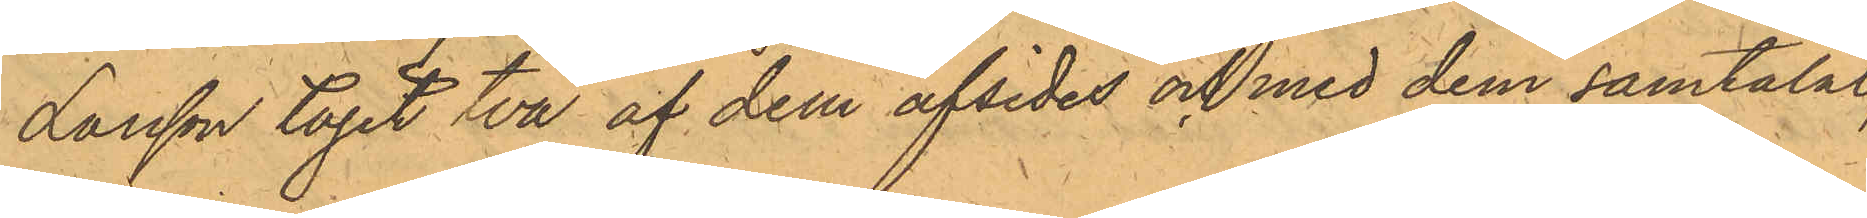Larsson tagit två af dem afsides och med dem samtalat,
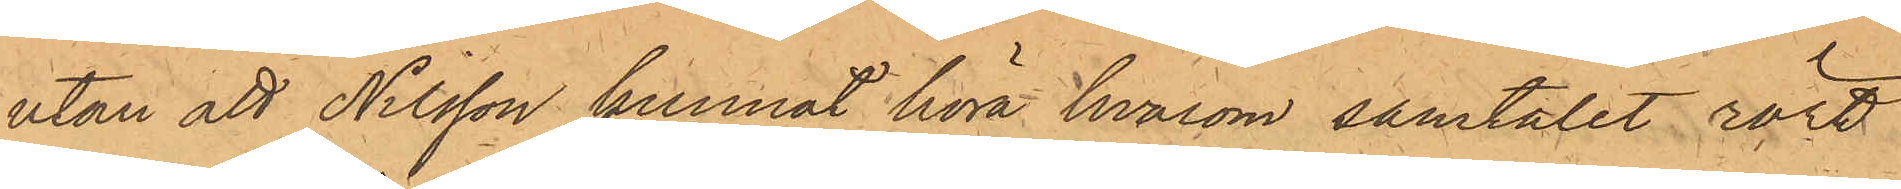utan att Nilsson kunnat höra hvarom samtalet rört
